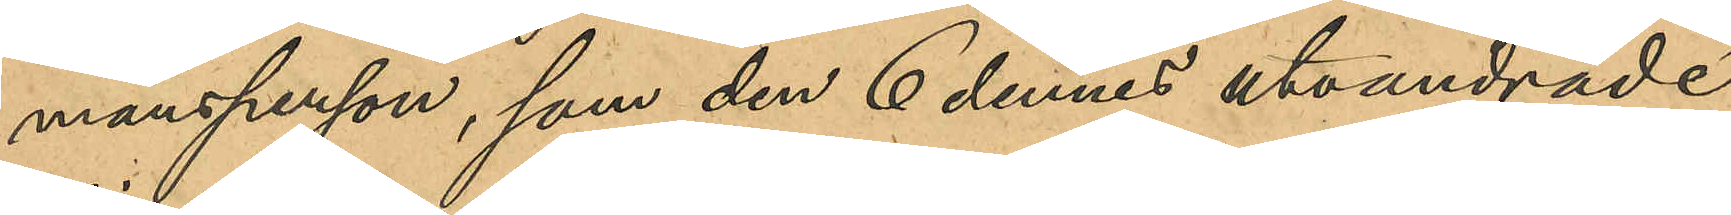mansperson, som den 6 dennes utvandrade
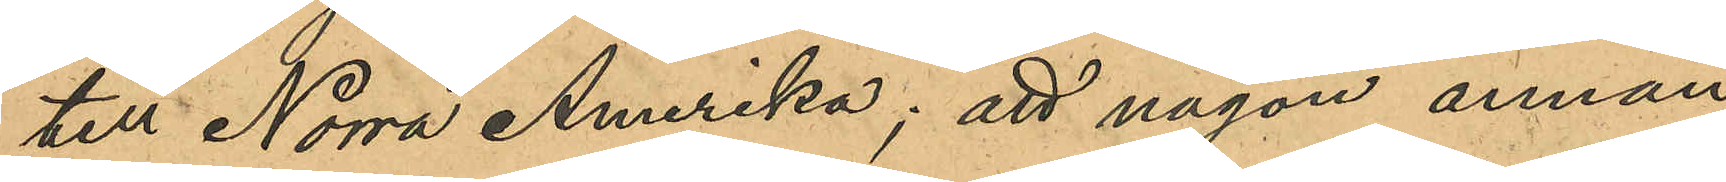till Norra Amerika; att någon annan
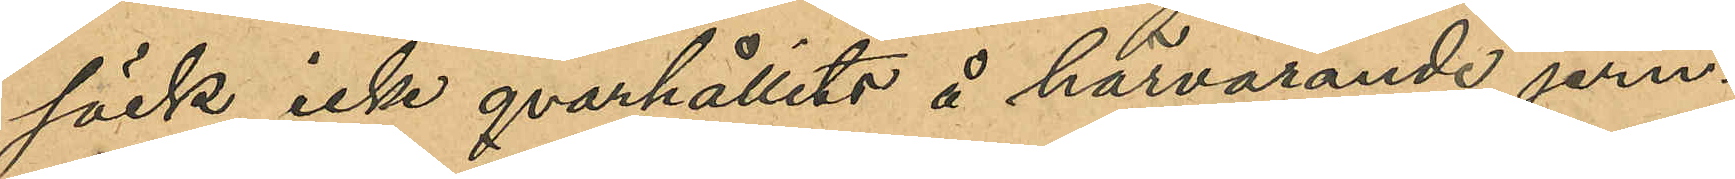säck icke qvarhållits å härvarande jern¬
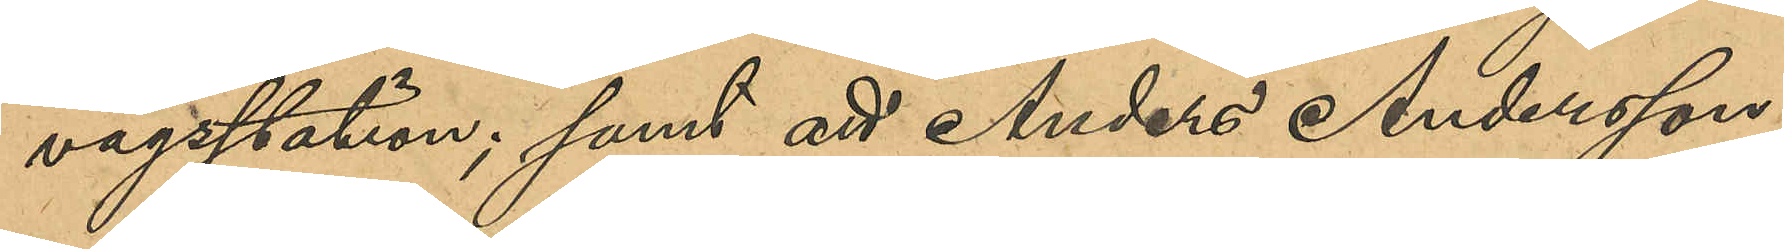vägsstation; samt att Anders Andersson
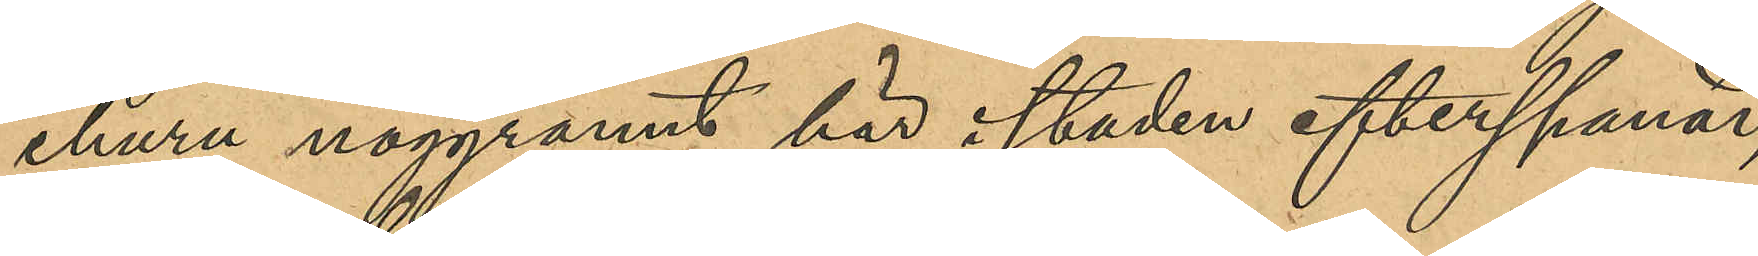ehuru noggrant här i staden efterspanad,
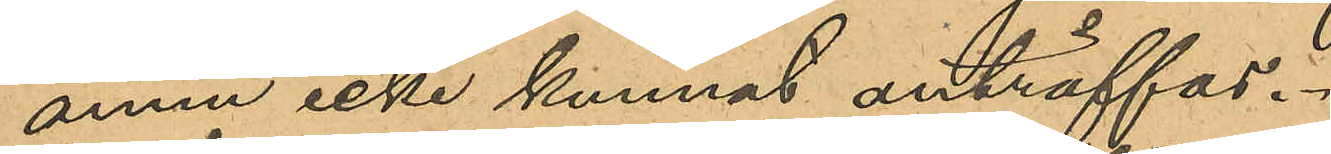ännu icke kunnat anträffas.
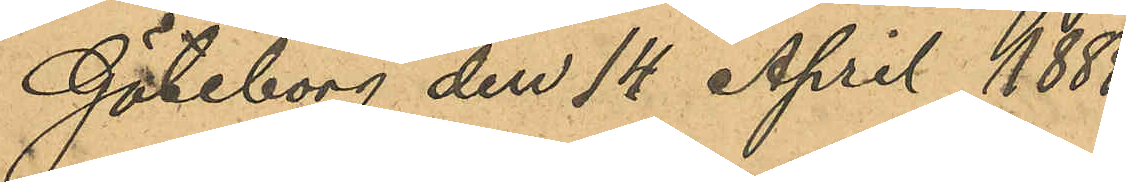Göteborg den 14 April 1888.
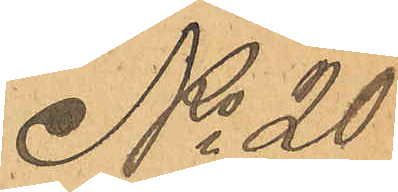No 20
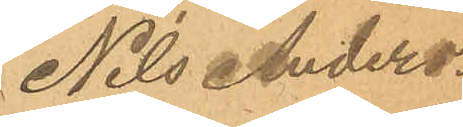Nils Anders¬
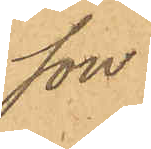son.
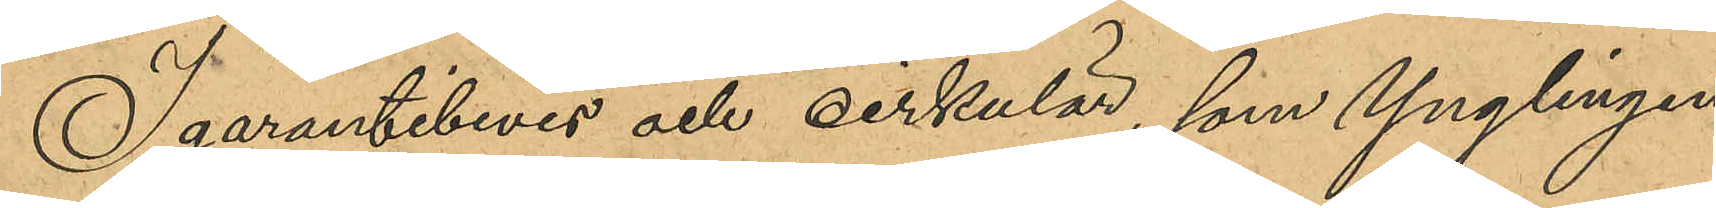I garantibevis och cirkulär, som Ynglingen
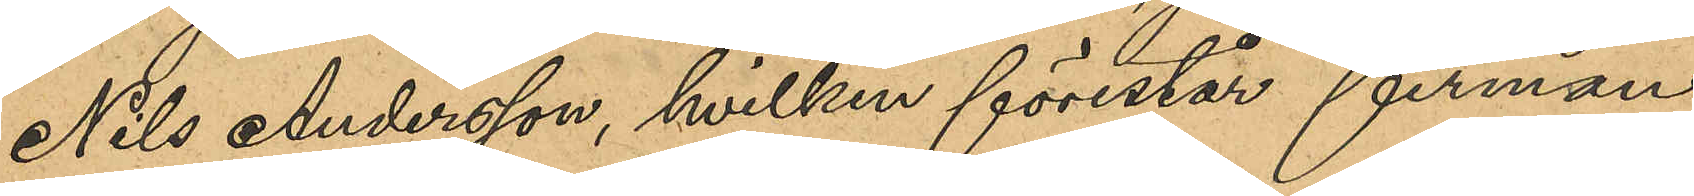Nils Andersson, hvilken förestår firman
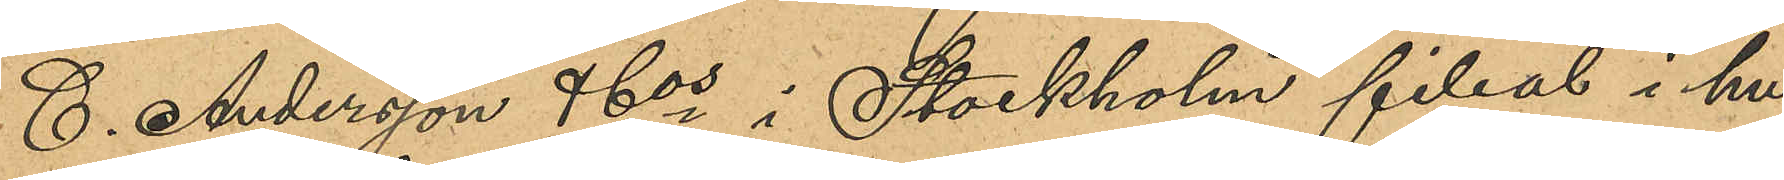C. Andersson & Cos i Stockholm filial i hu¬
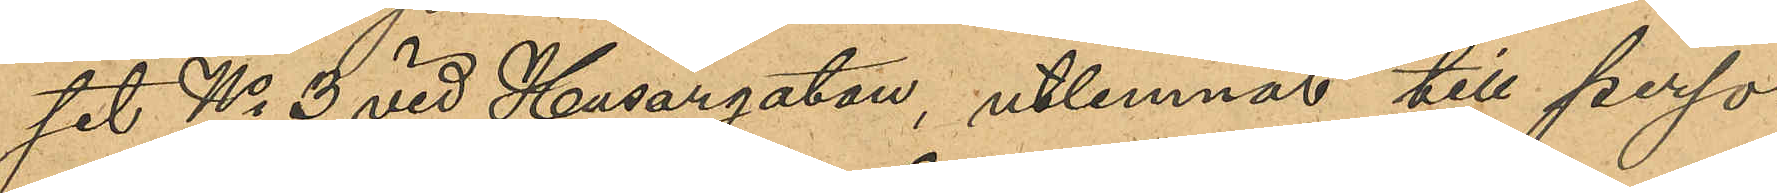set No 3 vid Husargatan, utlemnat till perso¬
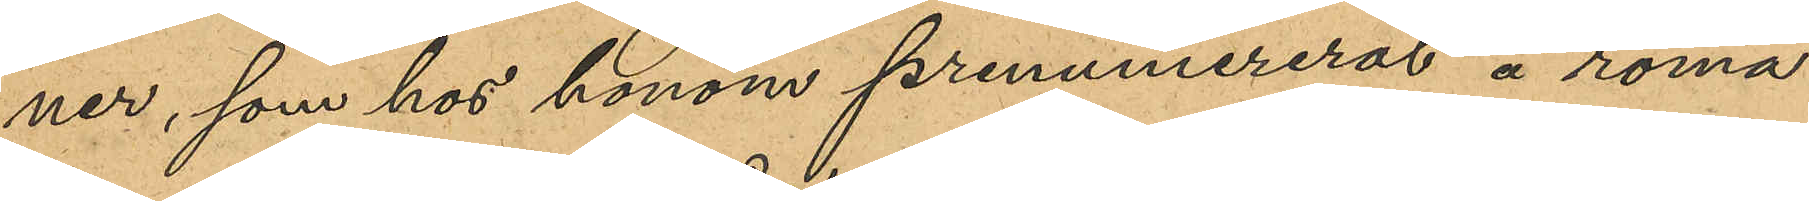ner, som hos honom prenumererat å roma¬
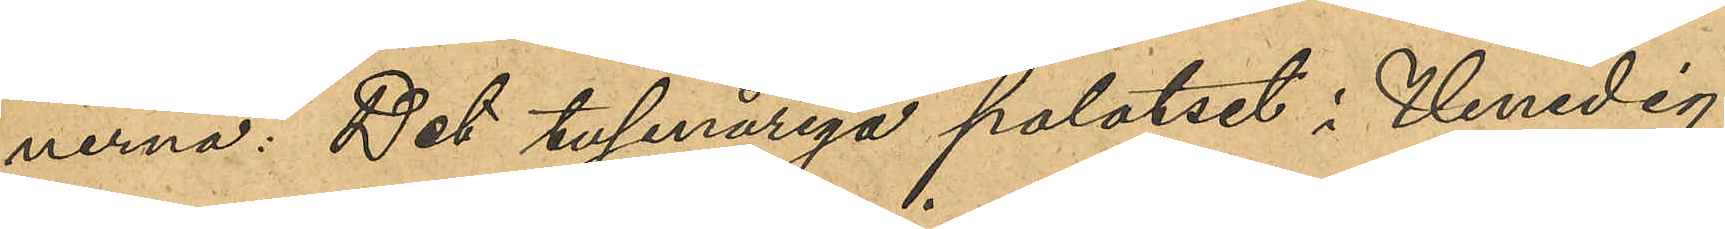nerna: "Det tusenåriga palatset i Venedig",
